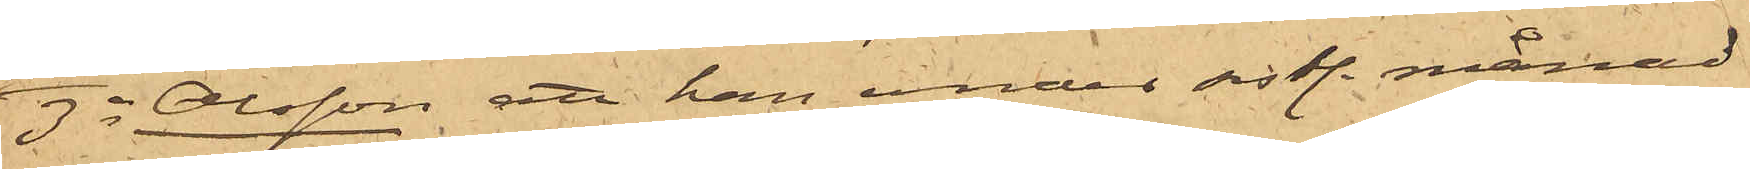3o Olsson att han under sistl. månad
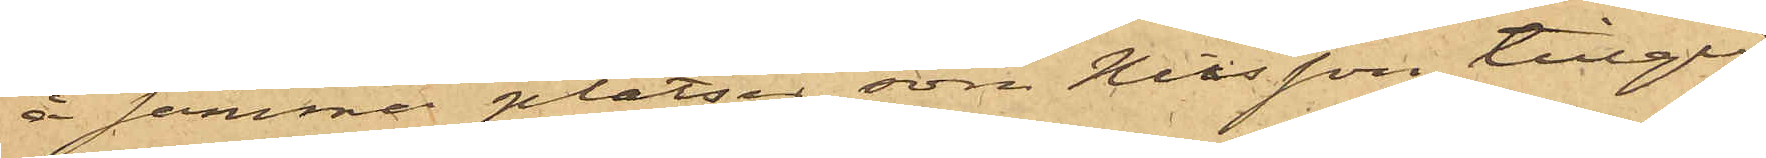å samma platser som Nilsson tillgri¬
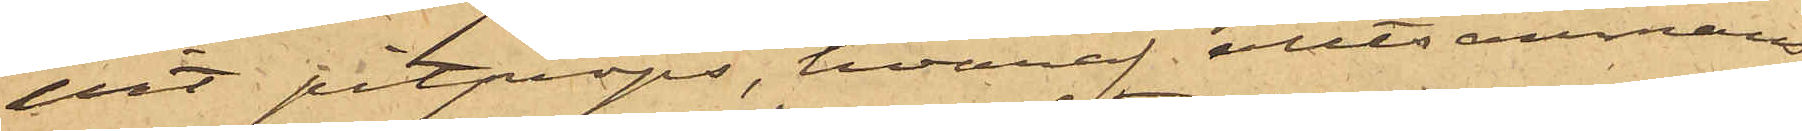pit pitprops, hvaraf alltsammans
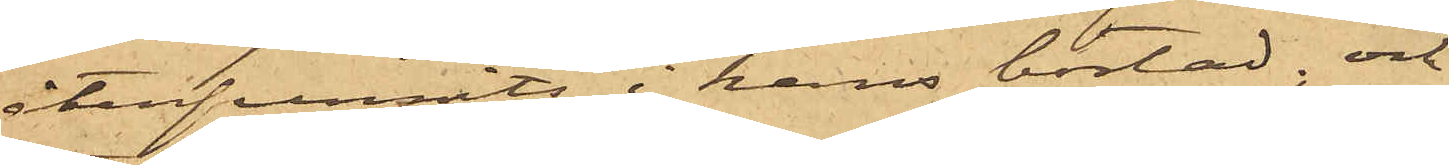återfunnits i hans bostad; och
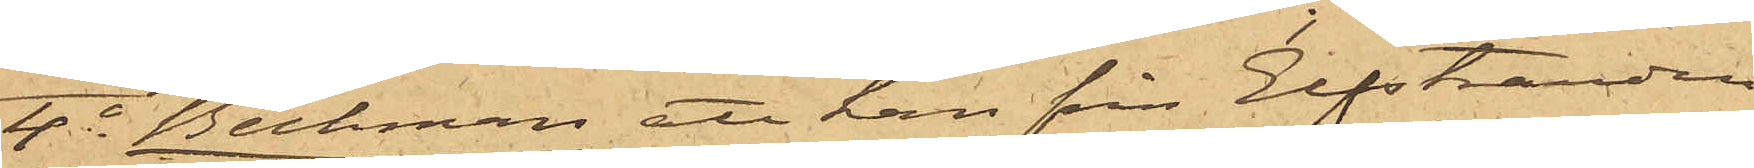4o Beckman att han från Elfstranden
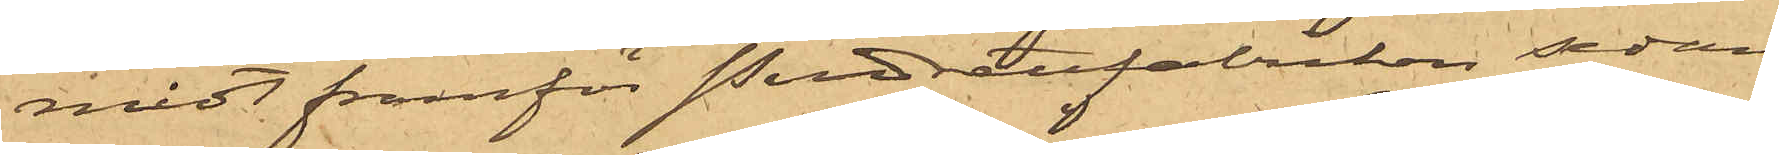midt framför Pudrettfabriken sedan
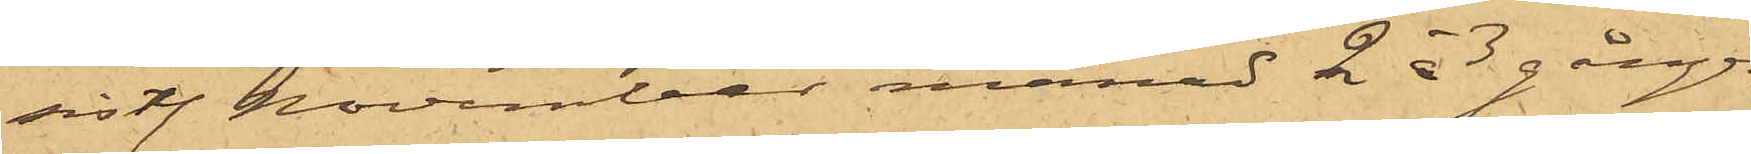sistl. November månad 2 à 3 gånger
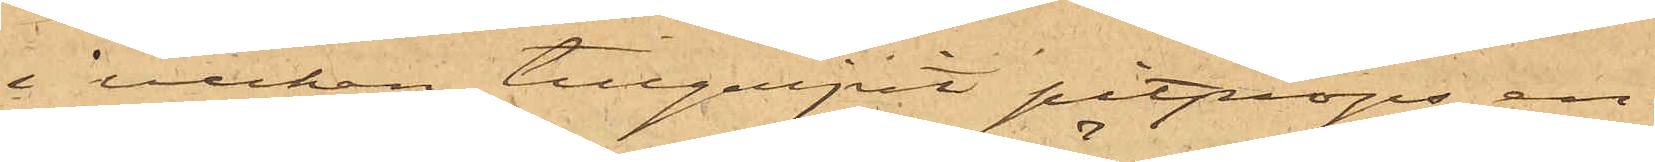i veckan tillgripit pitprops, en
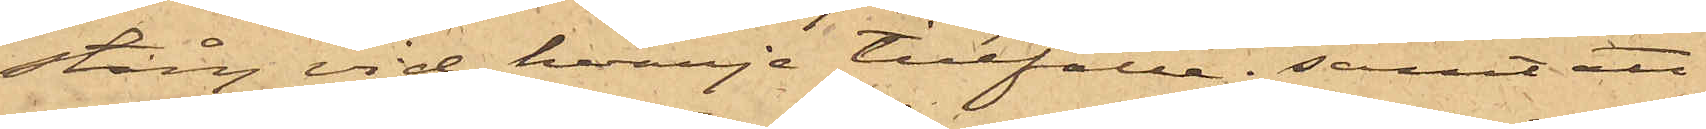stång vid hvarje tillfälle; samt att
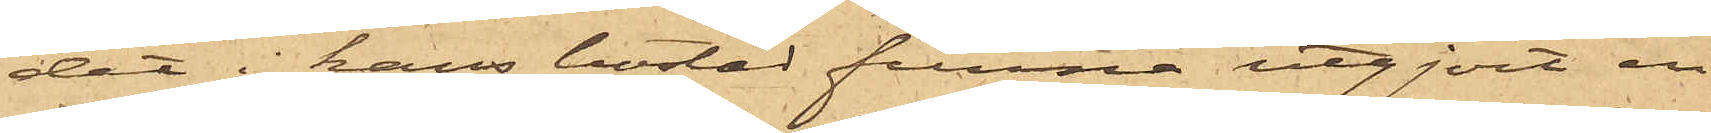det i hans bostad funna utgjort en
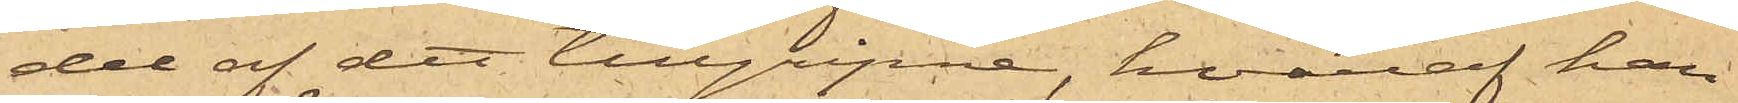del af det tillgripne, hvaraf han
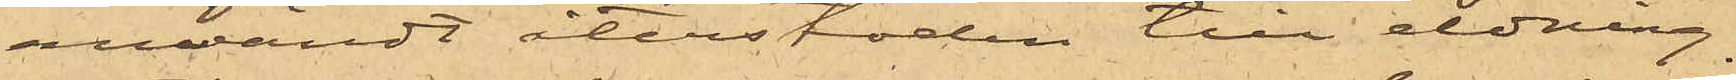användt återstoden till eldning.
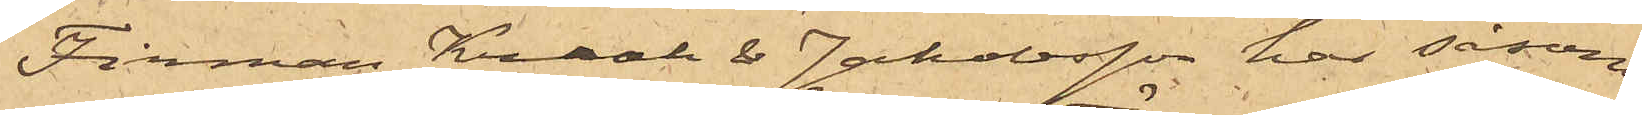Firman Kraak & Jakobsson har såsom
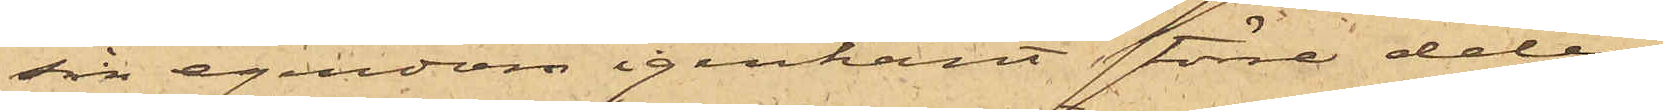sin egendom igenkänt större delen
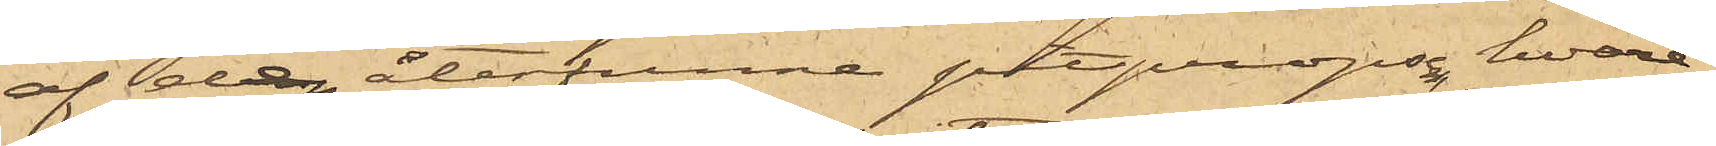af den återfunna pitpropsen, hvare¬
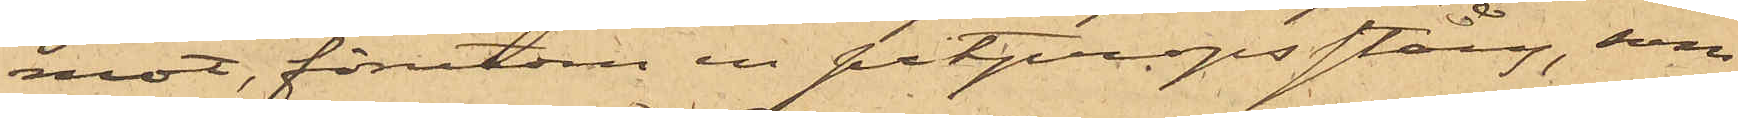mot, förutom en pitpropsstång, som
